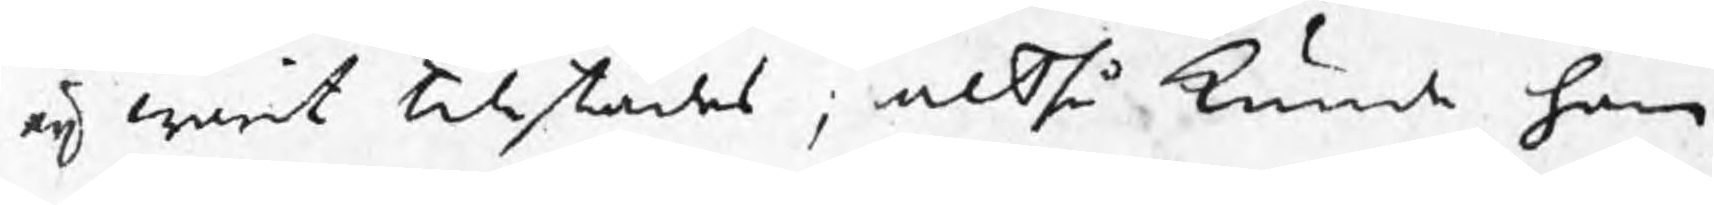eij warit tillstädes ; altså kunde han
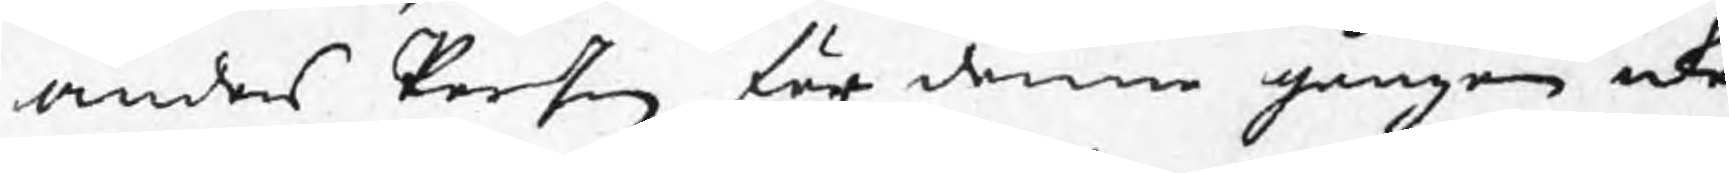Anders Person för denne gången icke
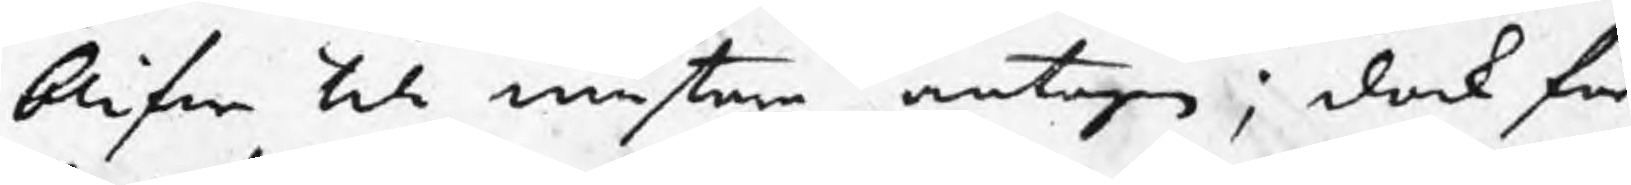blifwa till mästare antagen ; dock får
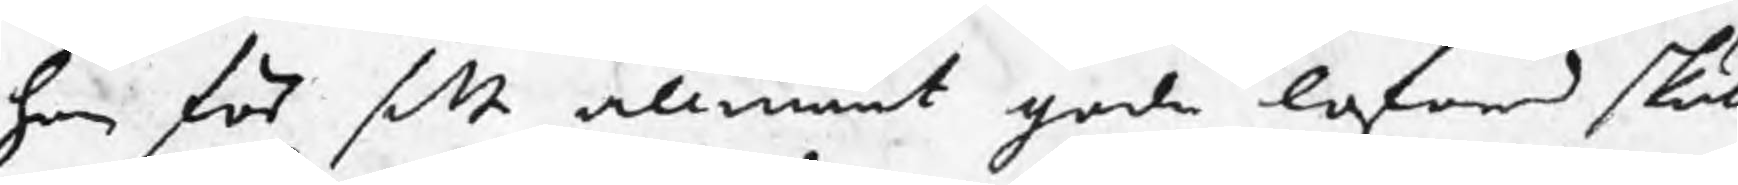han för sitt allmänt goda loford skull
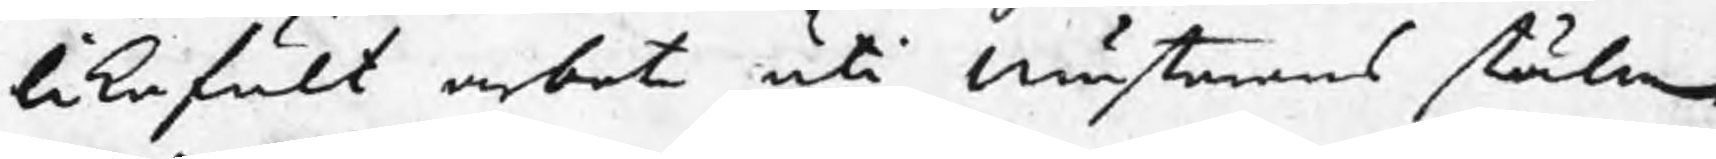likafult arbeta uti mästarens ställe
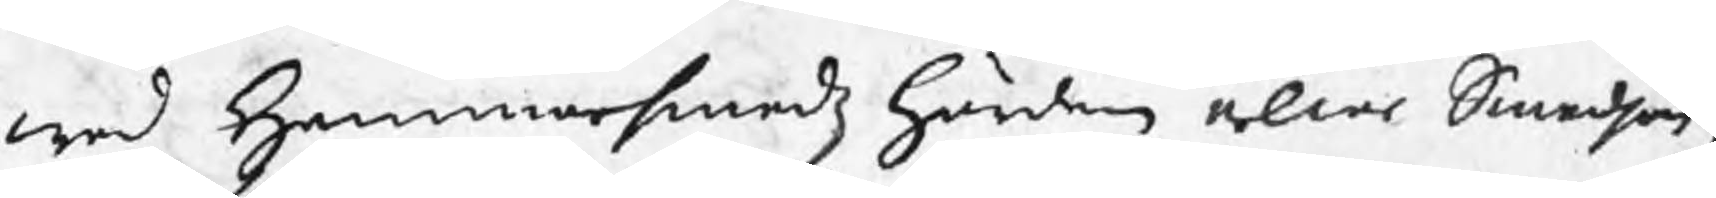wed Hammarsmedz härden eller Smedjan;
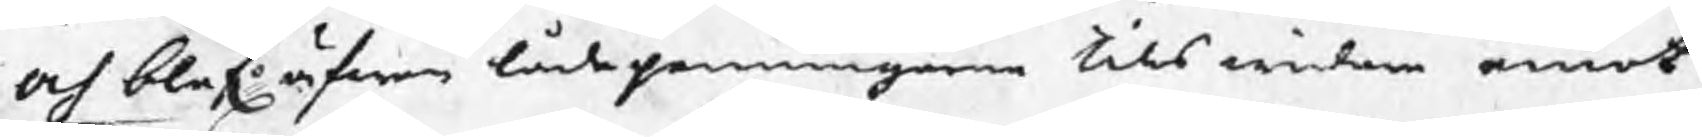och blef äfwen lådepenningarne tills widare emot¬
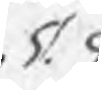§ 9.
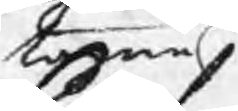tagne.
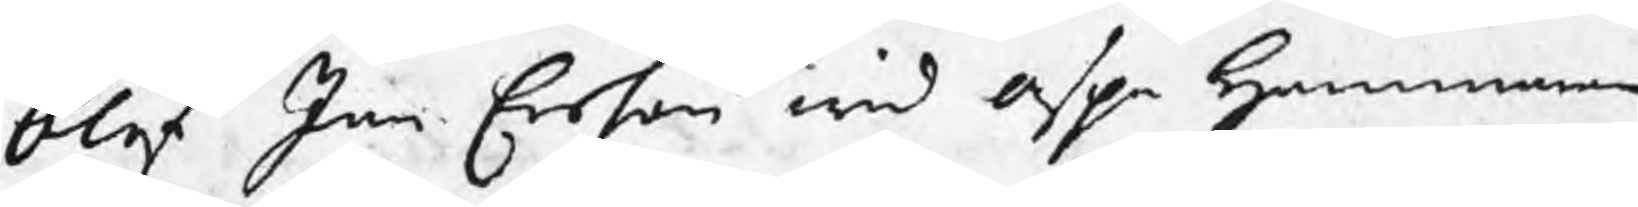blef Jan Ersson wid Aspa Hammare
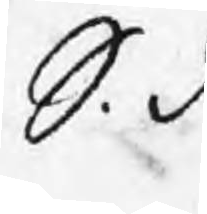S. d.
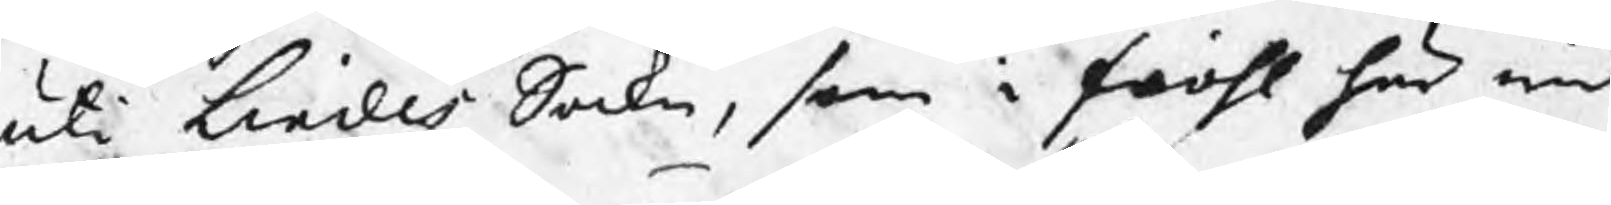uti Lindes Sockn, som i fiohl här wid
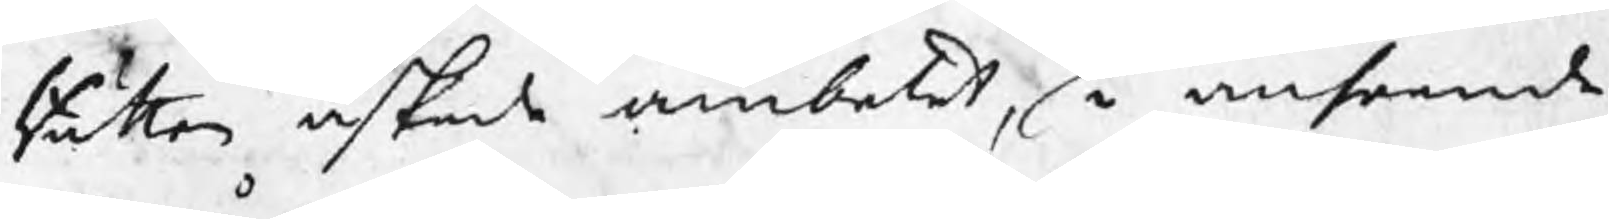rätten äskade ämbetet, i anseende
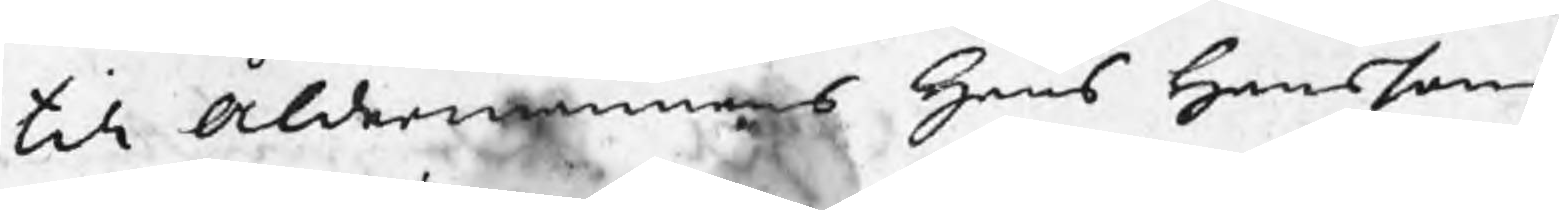till Åldermannens Hans Hanssons
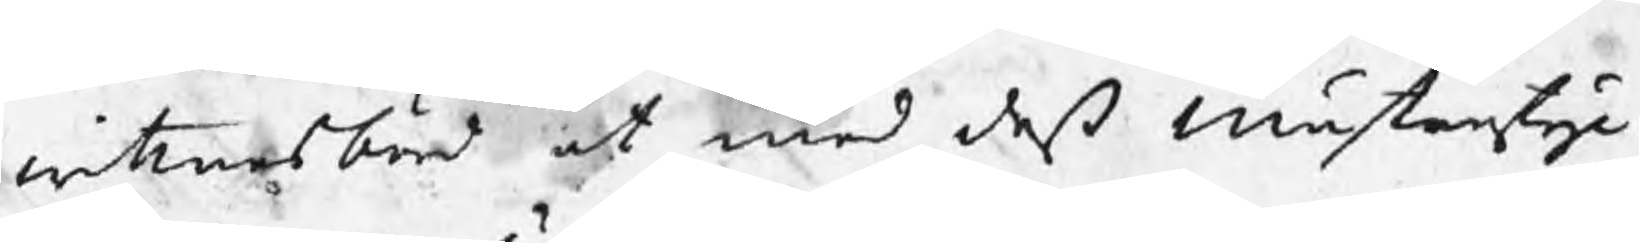wittnesbörd at med deß Mästerstyc¬
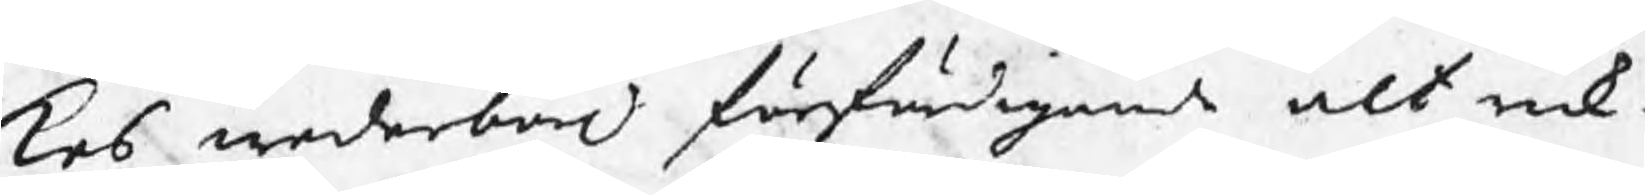kes wederbörl förfärdigande alt rik¬
